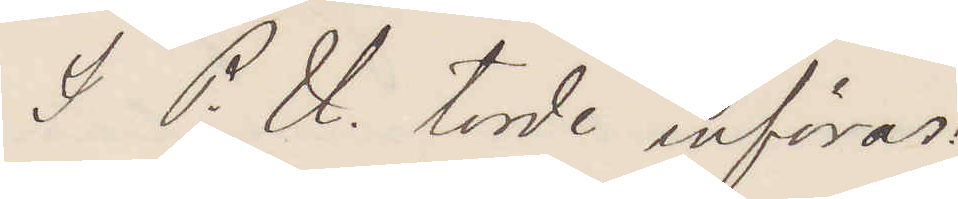I P. U. torde införas:
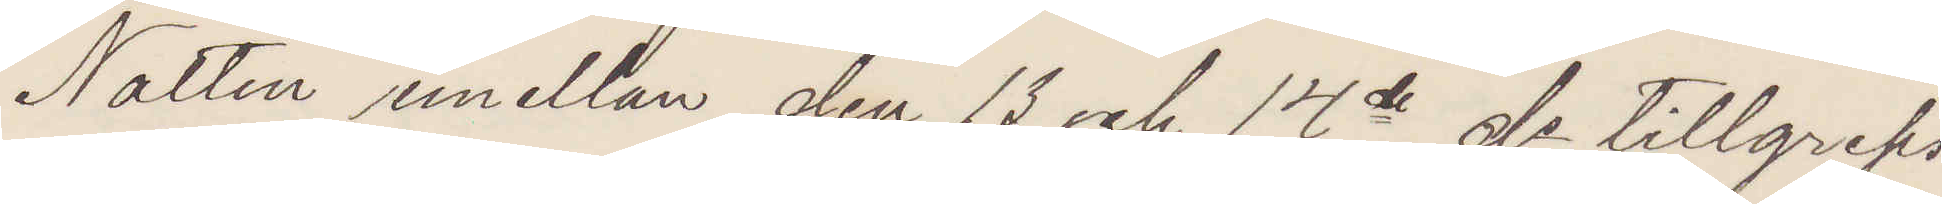Natten emellan den 13 och 14de ds tillgreps
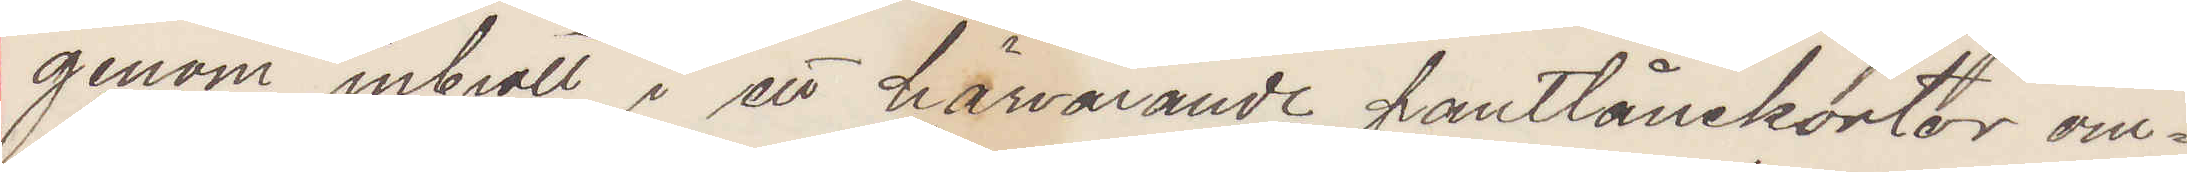genom inbrott i ett härvarande pantlånekontor om¬
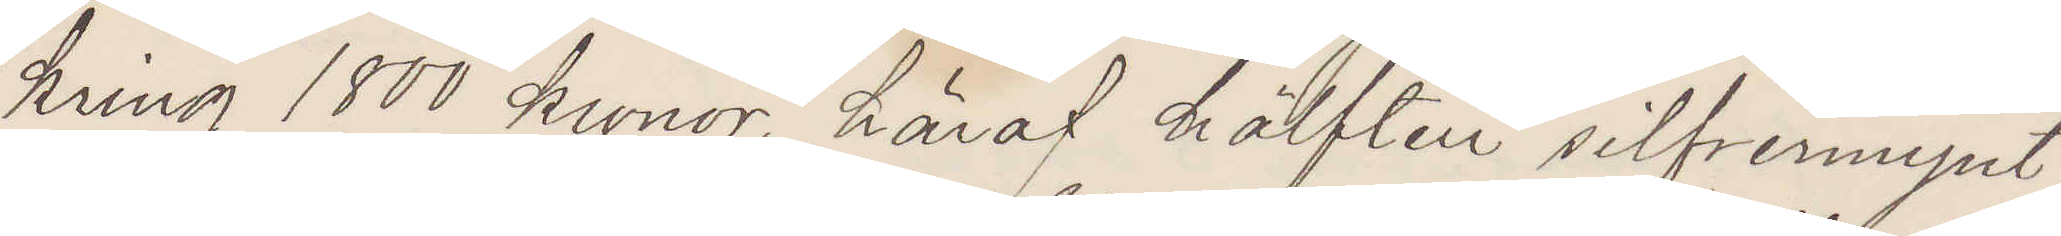kring 1800 kronor, häraf hälften silfvermynt
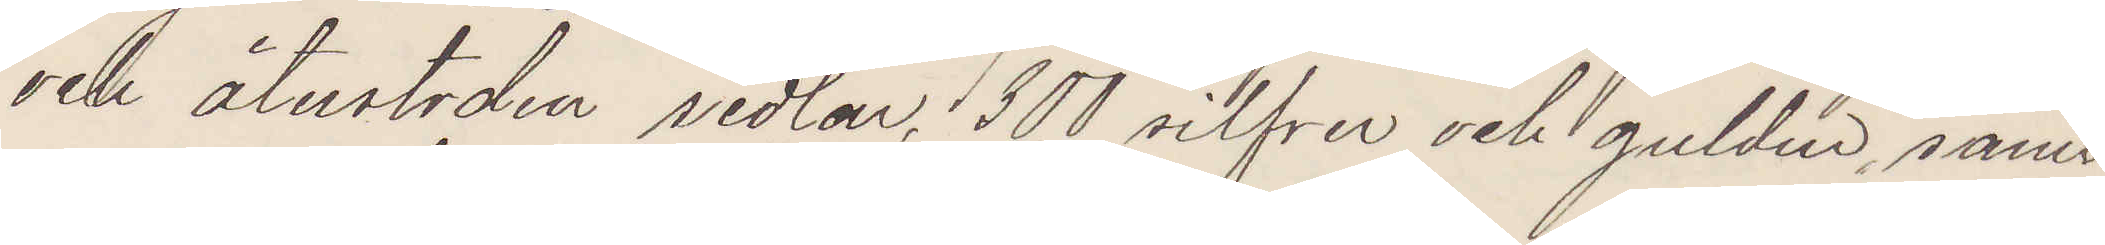och återstoden sedlar, 300 silfver och guldur, samt
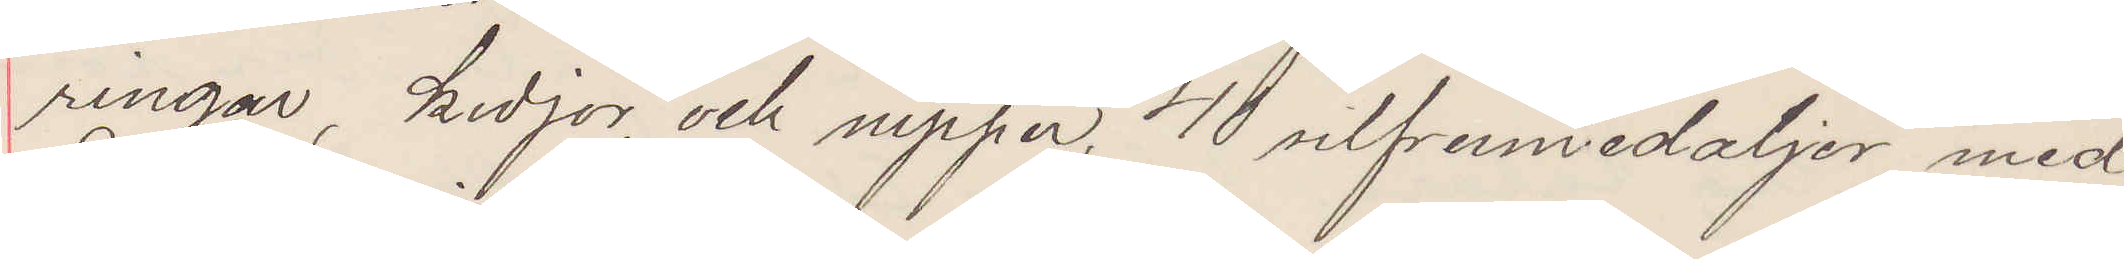ringar, kedjor och nipper. 40 silfvermedlajer med
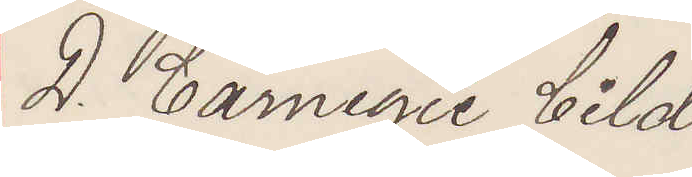D. Carnegie bild.
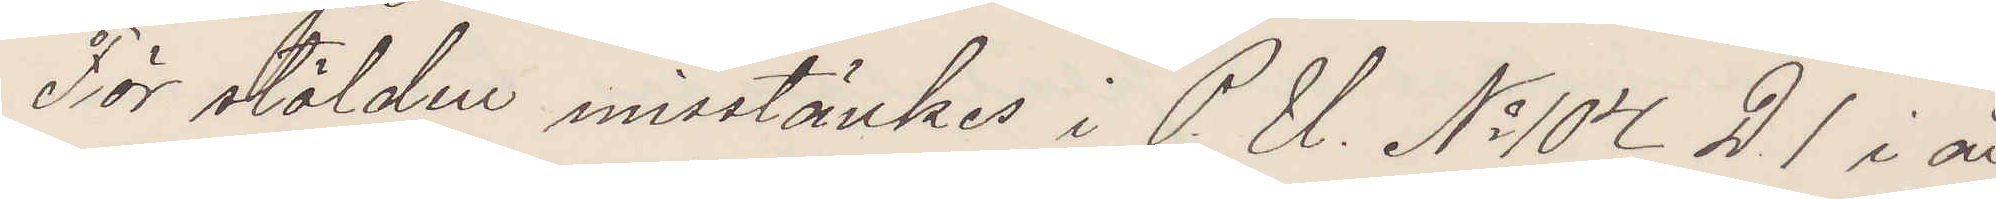För stölden misstänkes i P. U. No 104 D1 i år
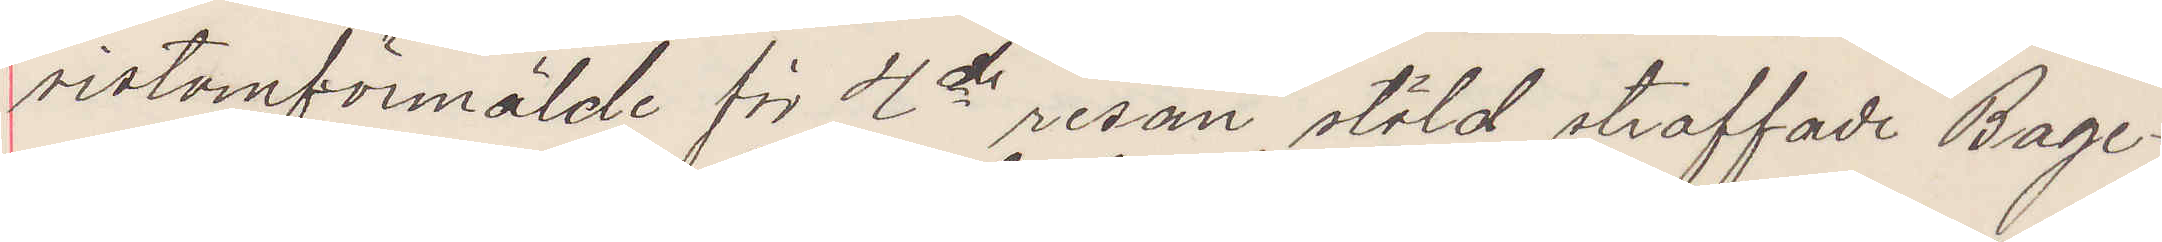sistomförmälde för 4de resan stöld straffade Bage¬
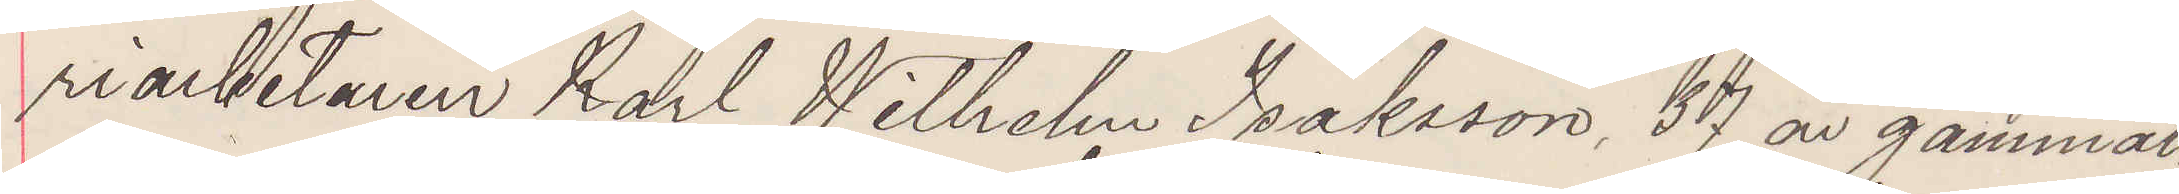riarbetaren Karl Wilhelm Isaksson, 37 år gammal,
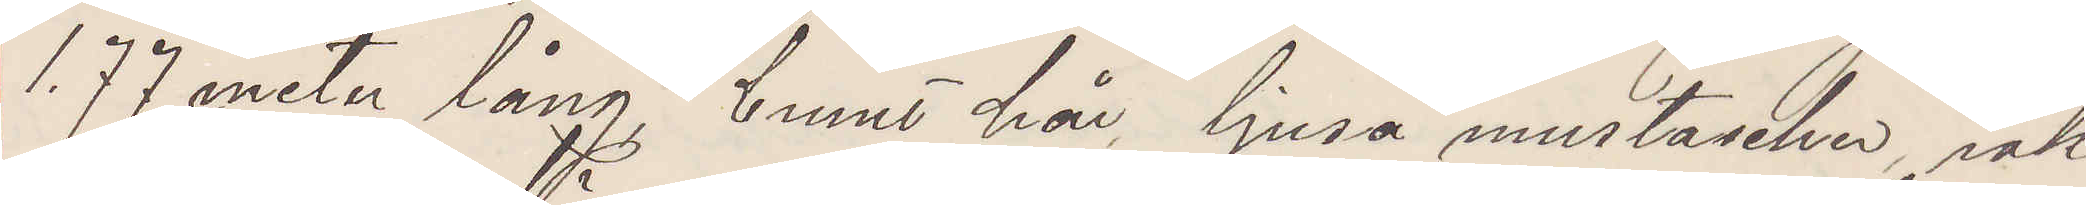1.77 meter lång, brunt hår, ljusa mustascher, rak
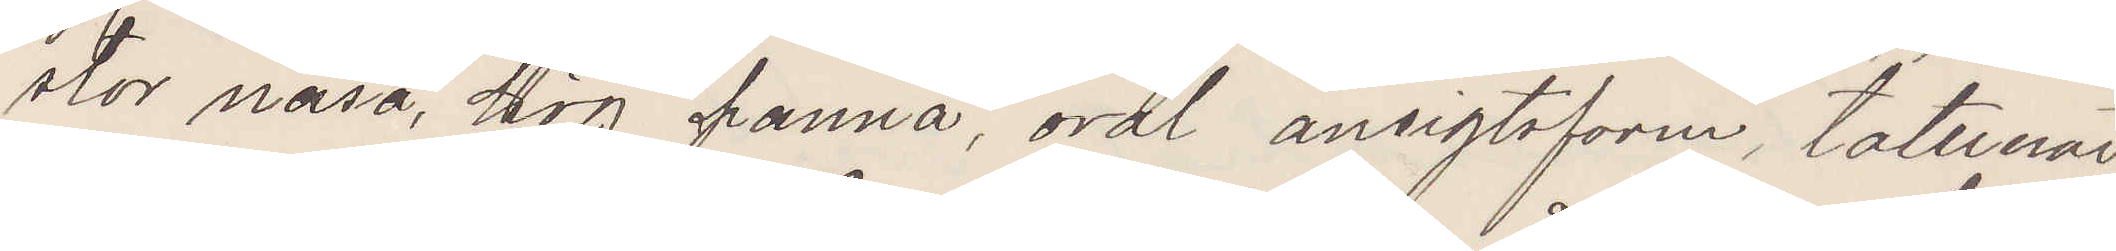stor näsa, hög panna, oval ansigtsform, tatuerad
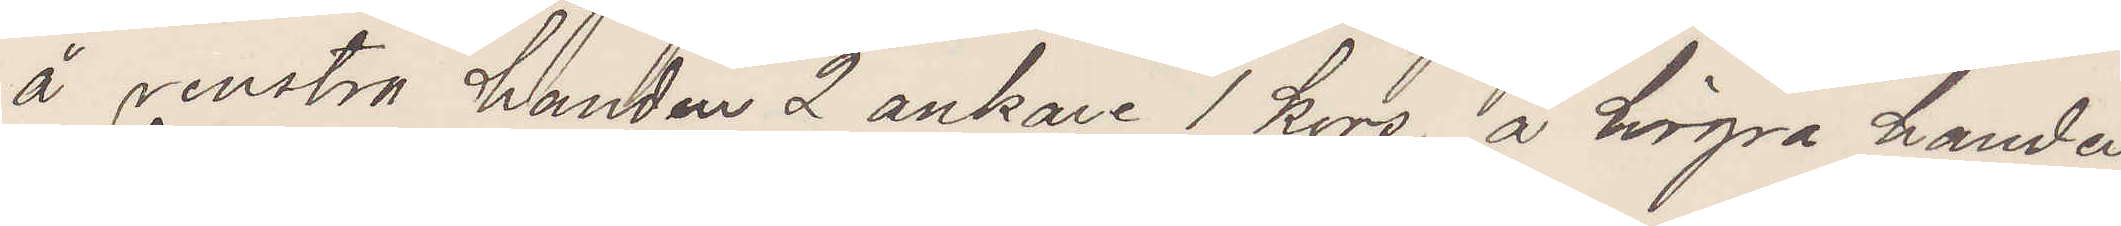å venstra handen 2 ankare 1 kors, å högra handen
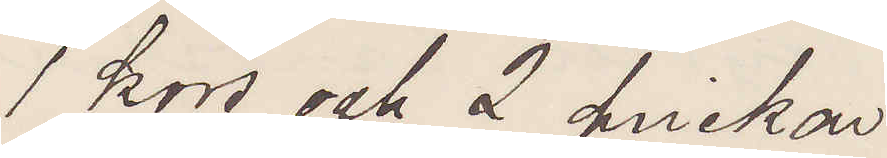1 kors och 2 prickar.
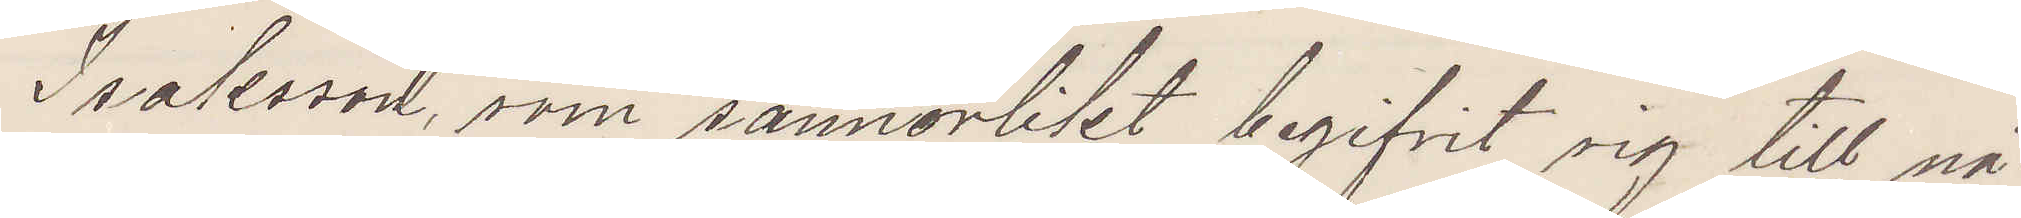Isaksson, som sannolikt begifvit sig till nå¬
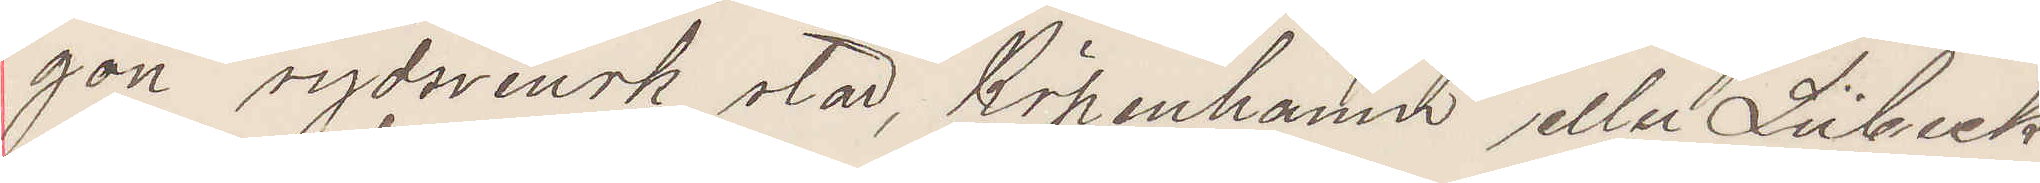gon sydsvensk stad, Köpenhamn eller Lübeck
